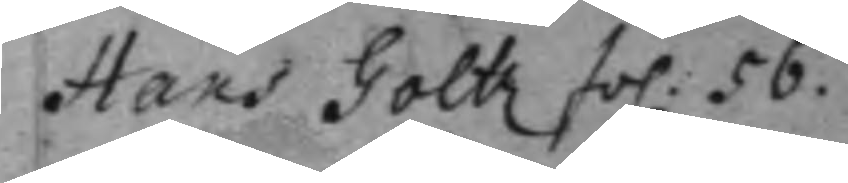Hans Goltz fol. 56.
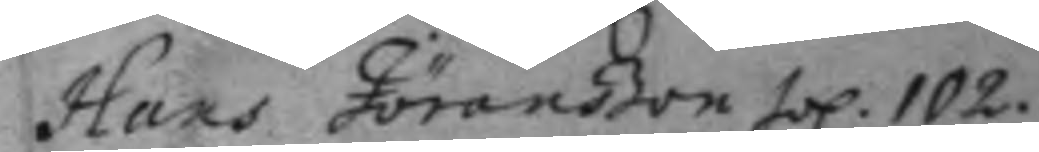Hans Järanßon fol. 102.
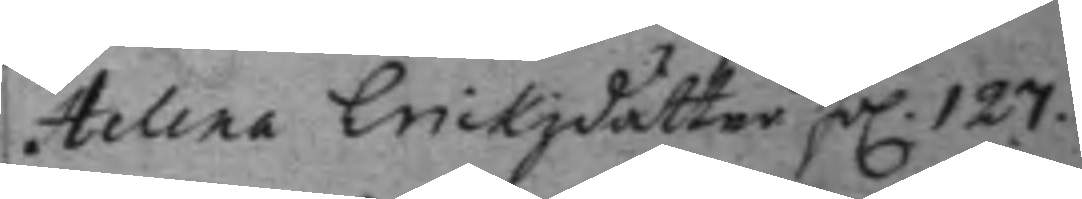Helena Erickzdåtter fol. 127.
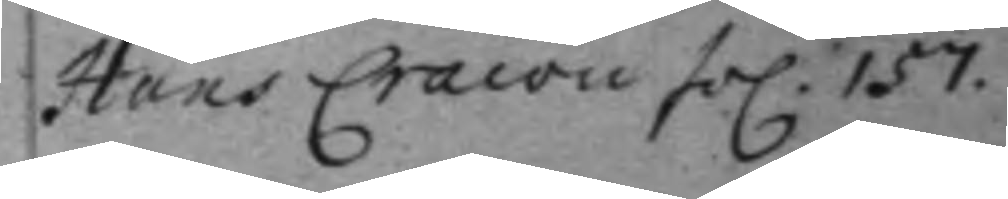Hans Cracon fol. 157.
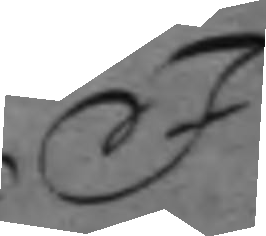I
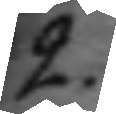2.
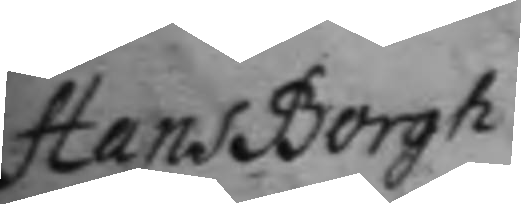Hans Borgh
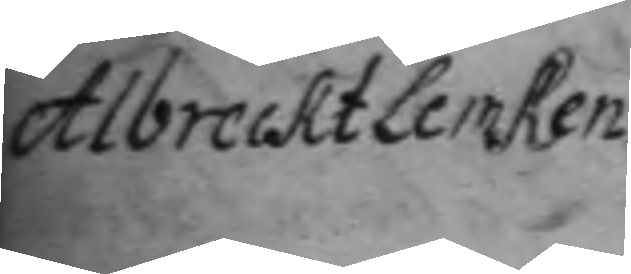Albreckt Lemken
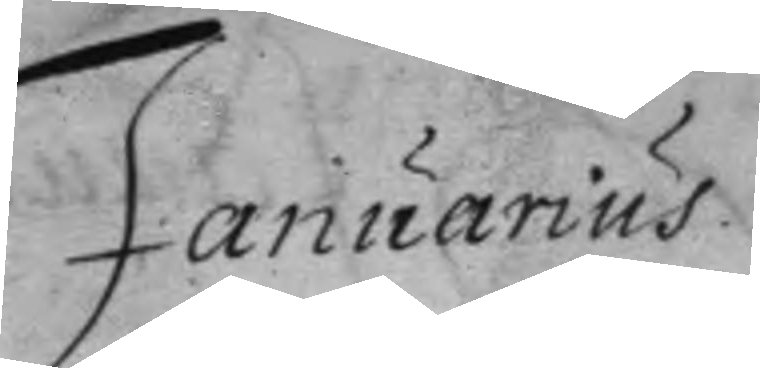Januarius
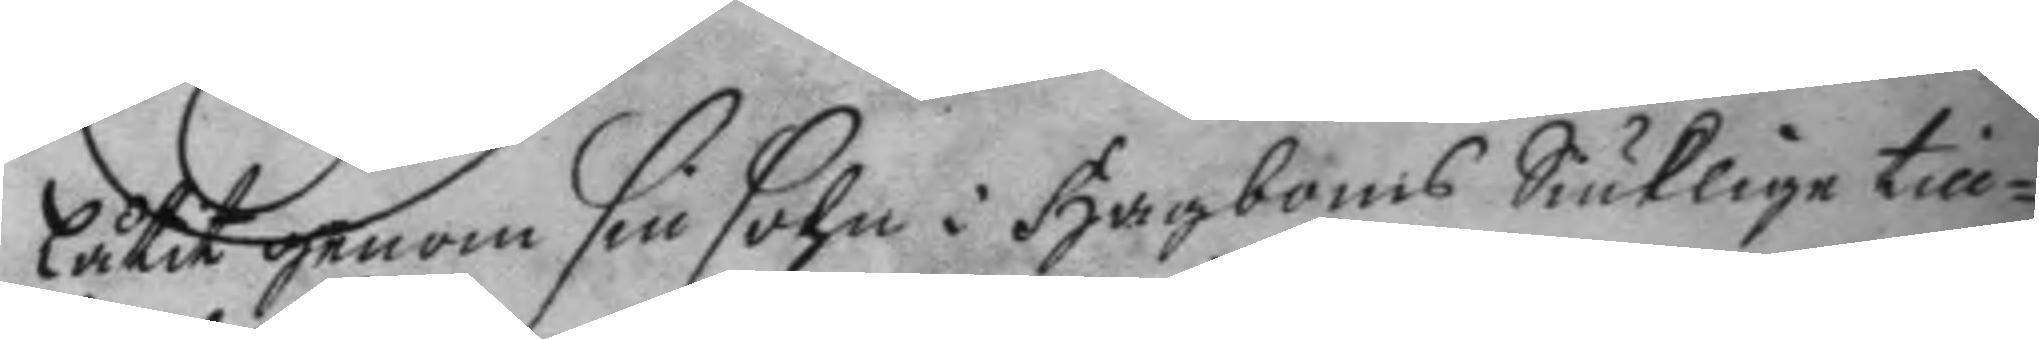låtit genom sin sohn i Hagboms Siuklige till¬
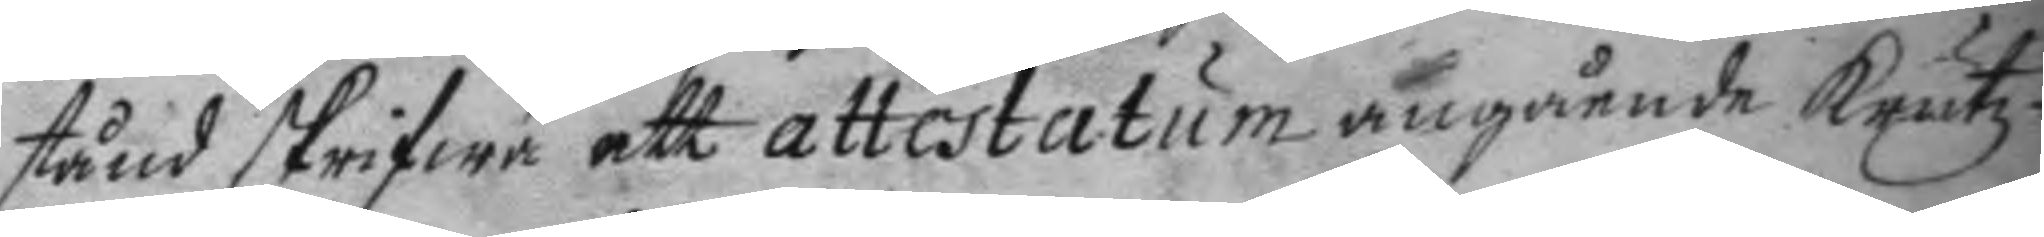stånd skrifwa ett attestatum angående krutz
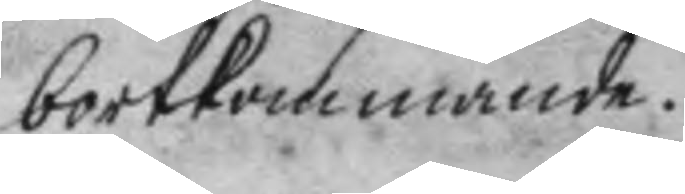bortkommande.
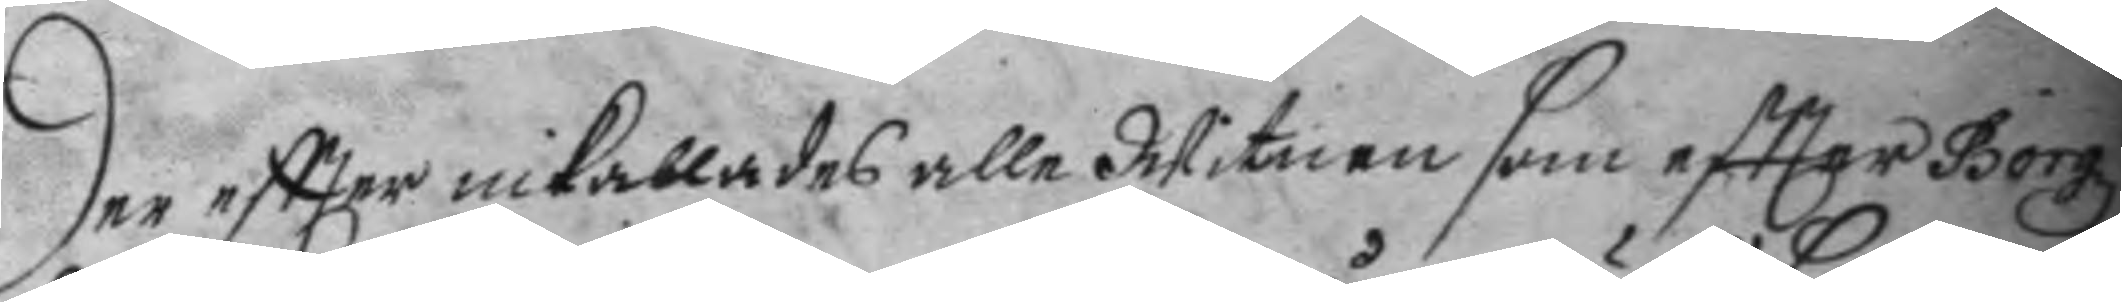der eftter inkallades alle Witen som eftter Borgz
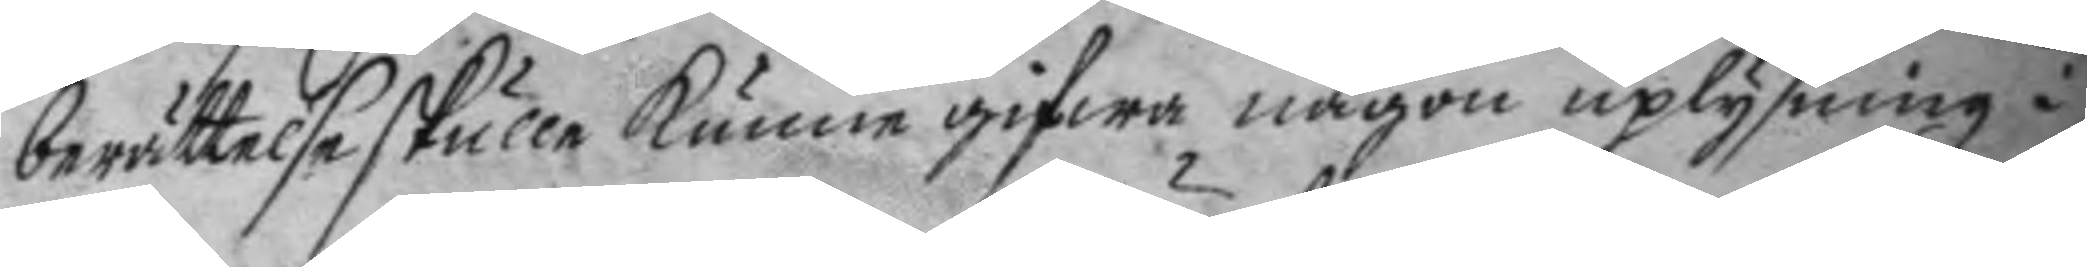berättelse skulle kunna gifwa någon uplysning i
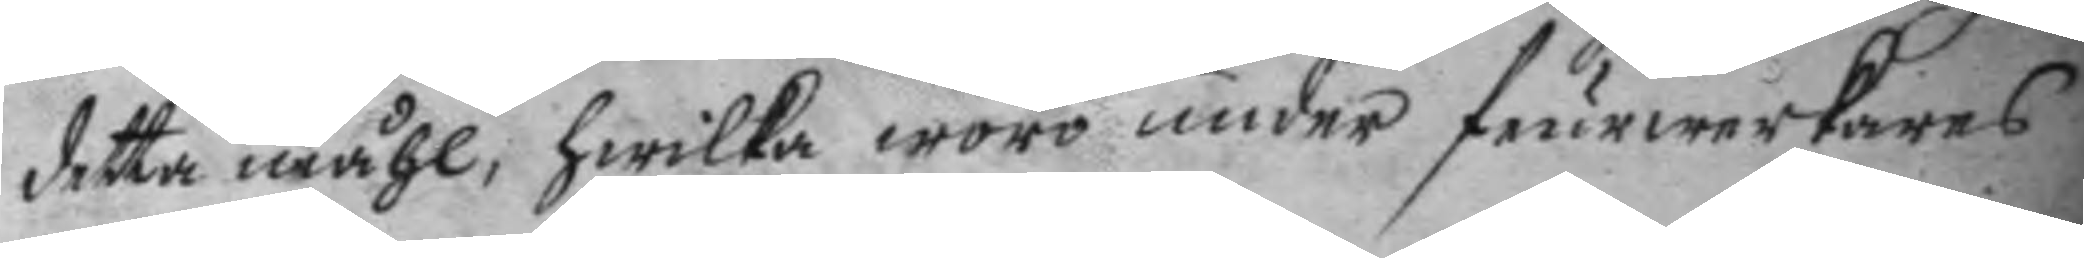della måhl, hwilka woro under feurwerkarens
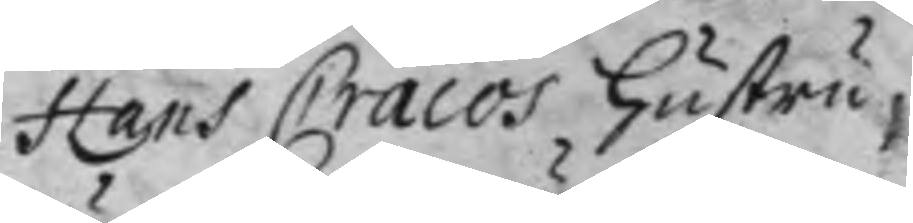Hans Cracos hustru,
